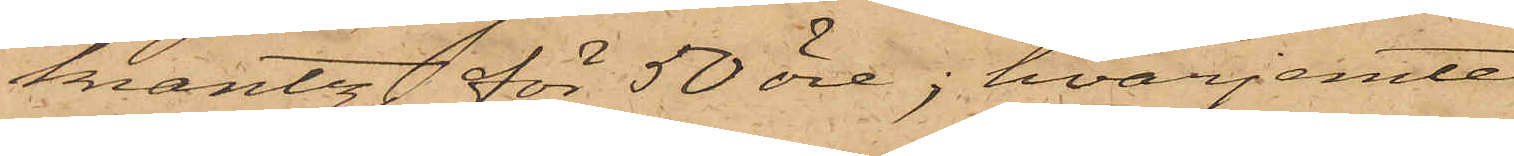krantz för 50 öre; hvarjemte
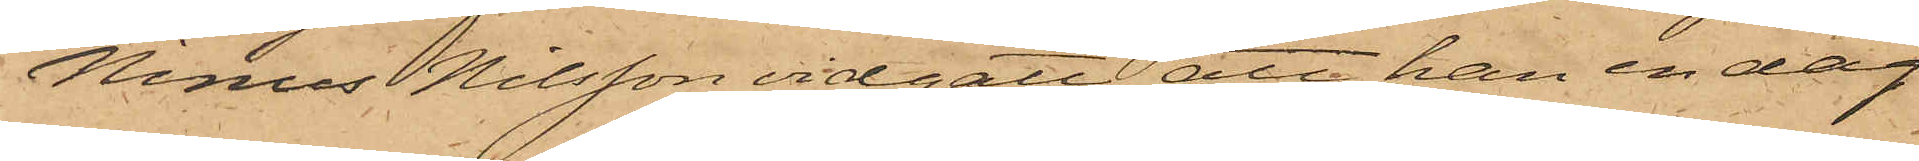Ninus Nilsson vidgått, att han en dag
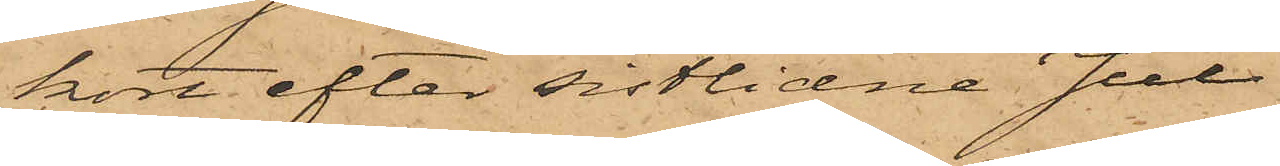kort efter sistlidne Jul
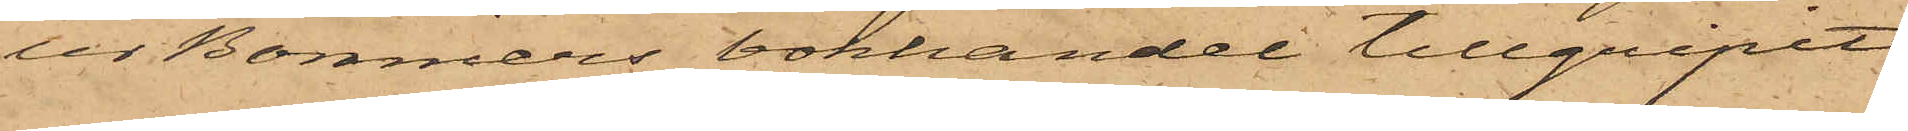ur Bonniers bokhandel tillgripit
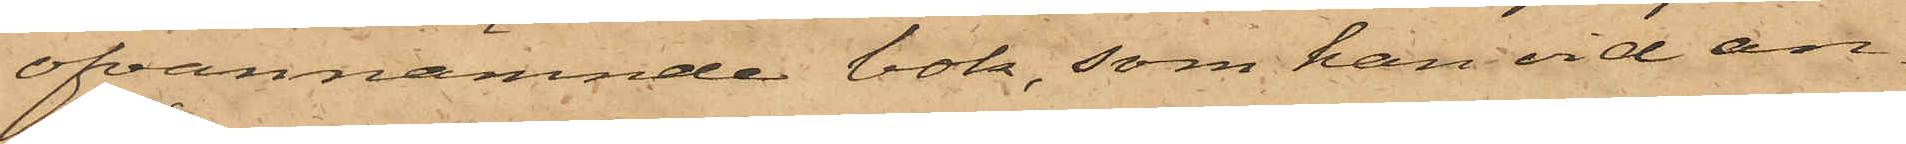ofvannämnde bok, som han vid an¬
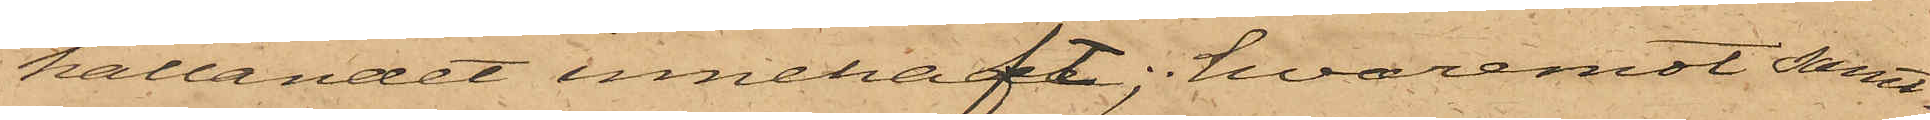hållandet innehaft; hvaremot samt¬
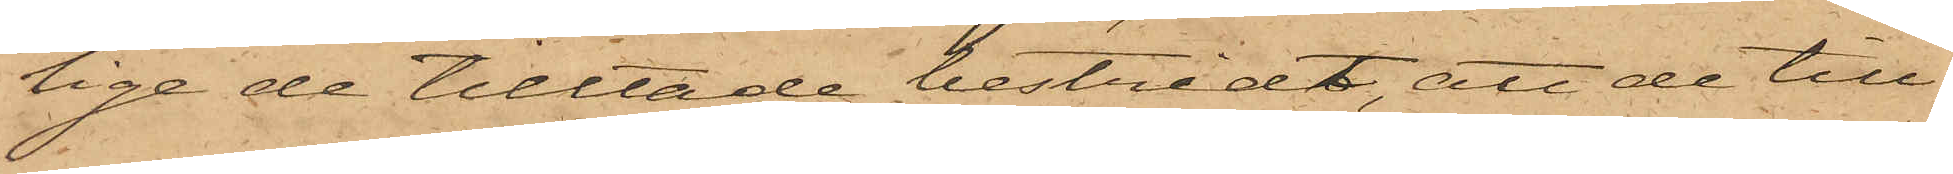lige de tilltalade bestridt, att de till¬
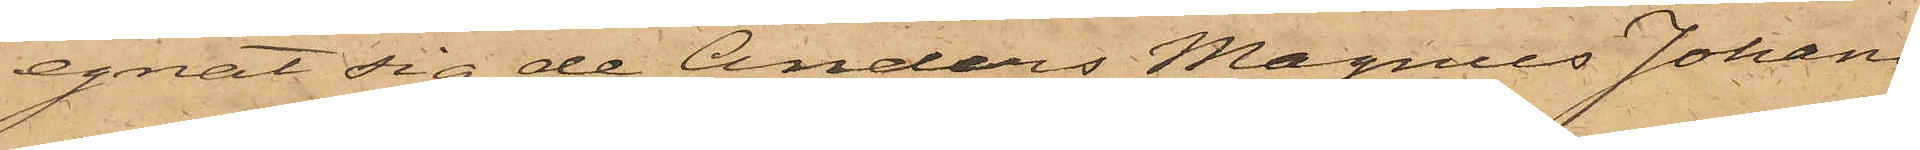egnat sig de Anders Magnus Johans¬
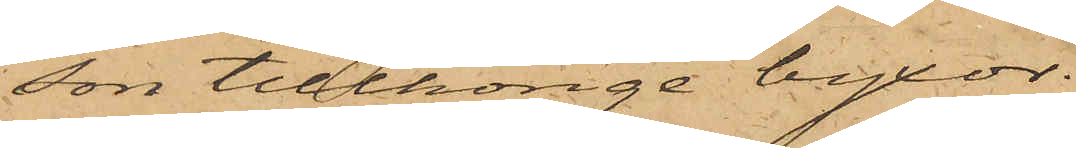son tillhörige byxor.
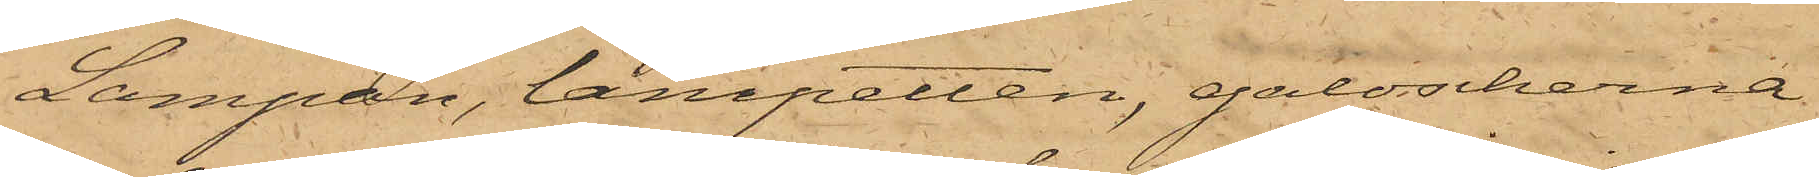Lampan, lampetten, galoscherna
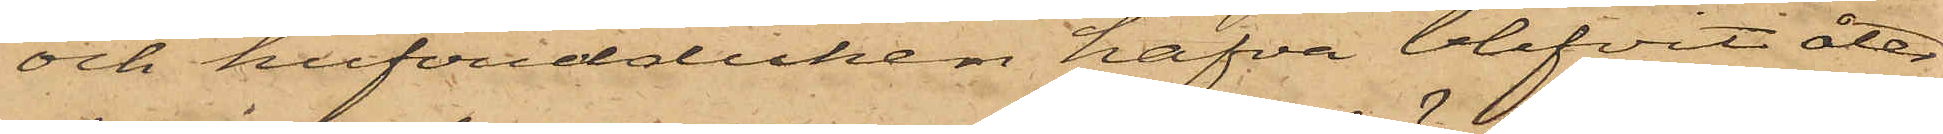och hufvudduken hafva blifvit åter¬
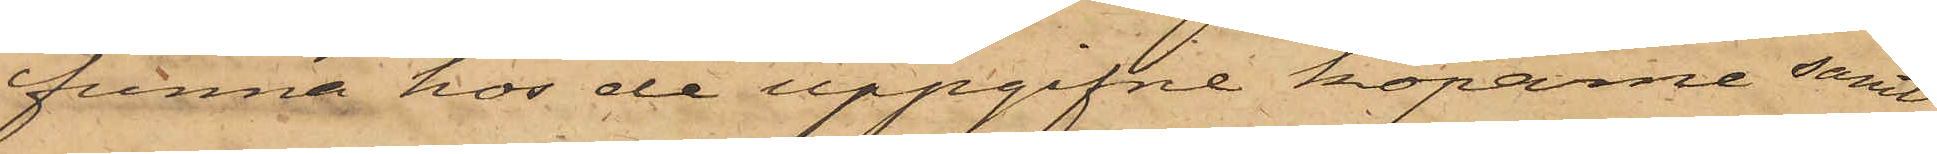funna hos de uppgifne köparne samt
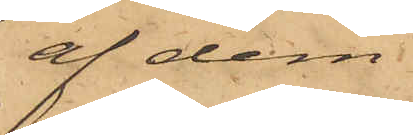af dem
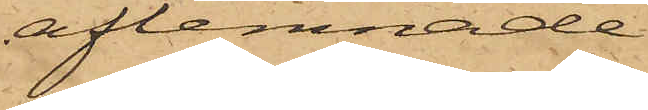aflemnade.
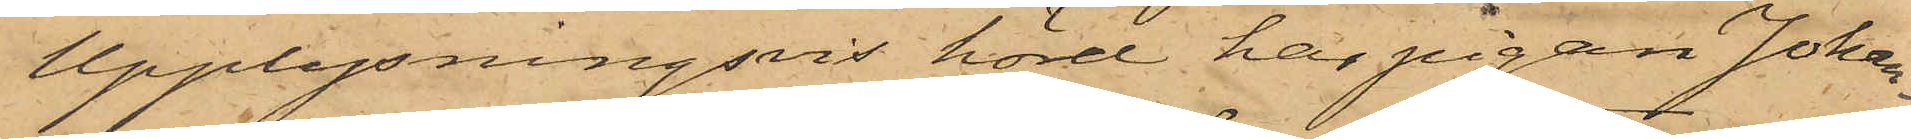Upplysningsvis hörd har pigan Johan¬
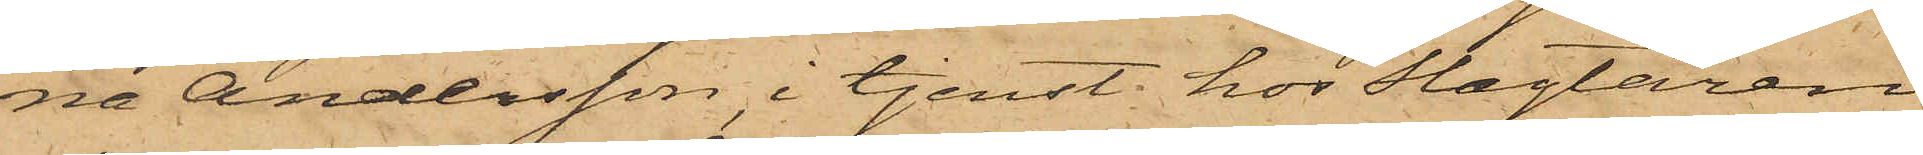na Andersson i tjenst hos Slagtaren
